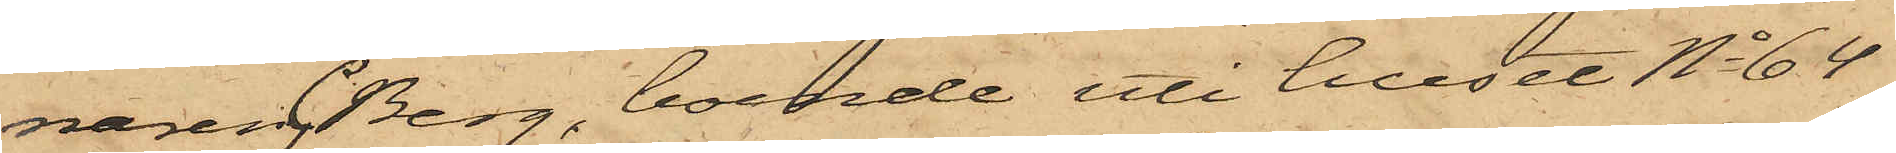naren C Berg, boende uti huset No 64
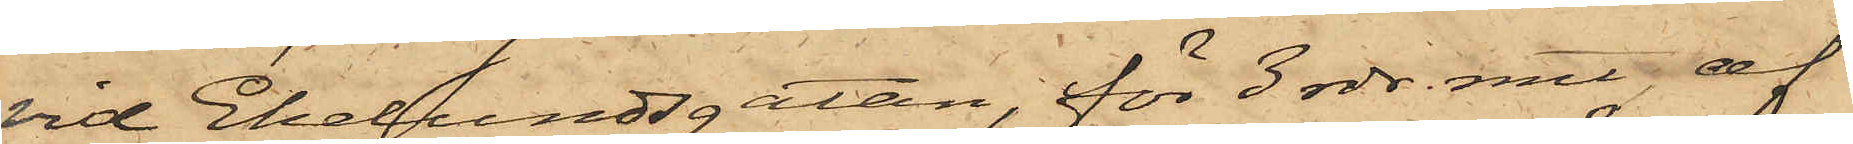vid Ekelundsgatan, för 3 rdr. rmt, af
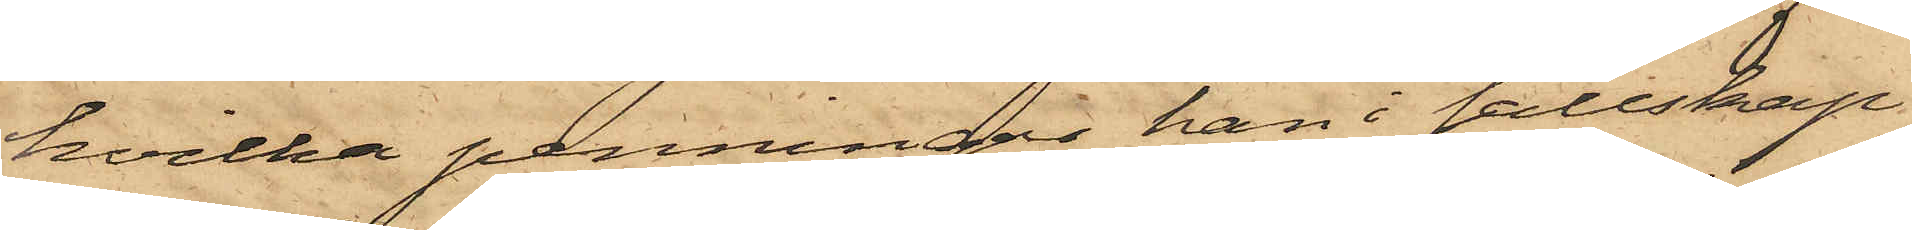hvilka penningar han i sällskap
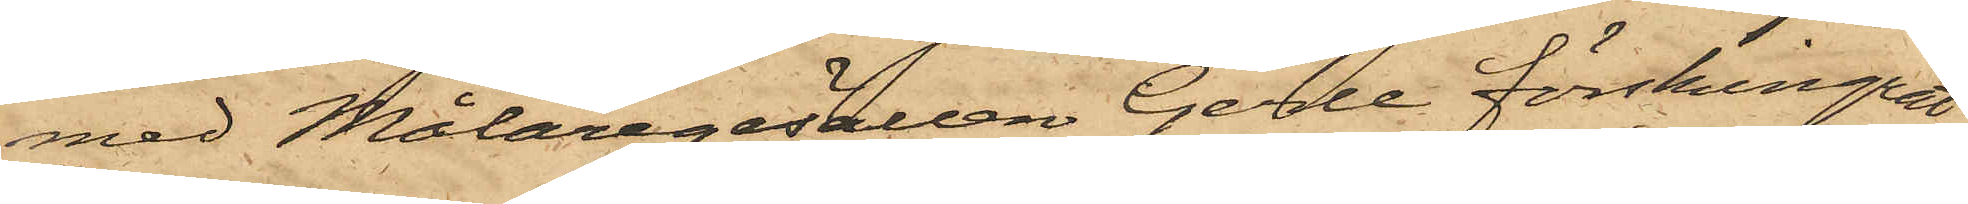med Målaregesällen Gerle förskingrat
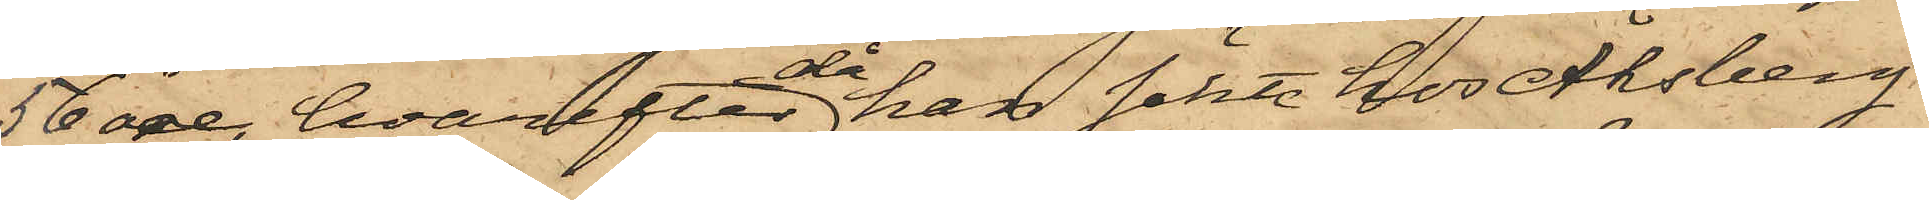56 öre, hvarefter då han sökt hos Åhsberg
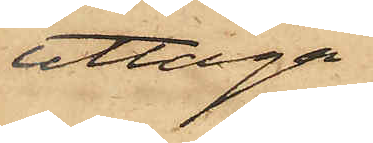uttaga
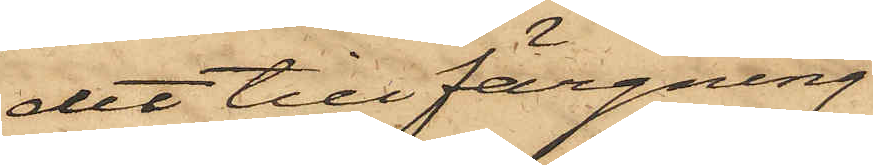det till färgning
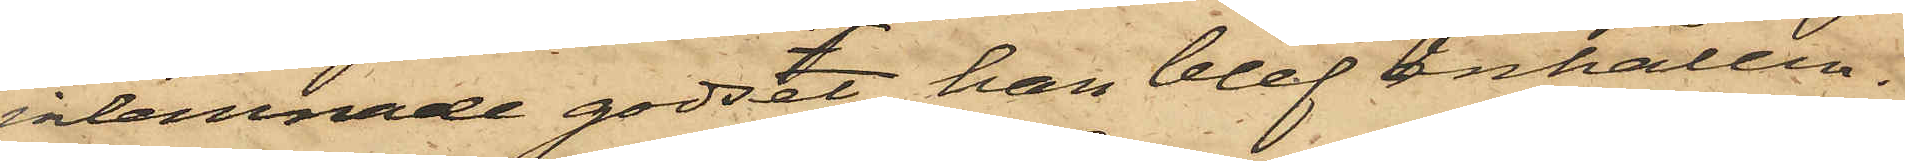inlemnade godset, han blef anhållen.
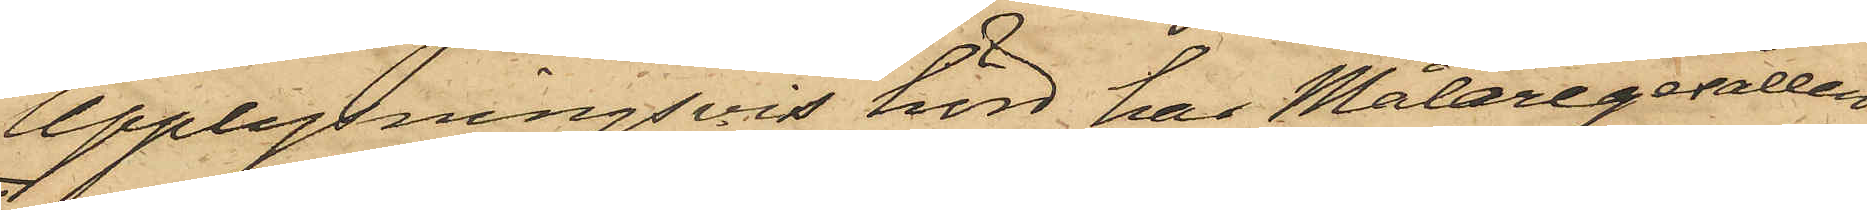Upplysningsvis hörd har Målaregesällen
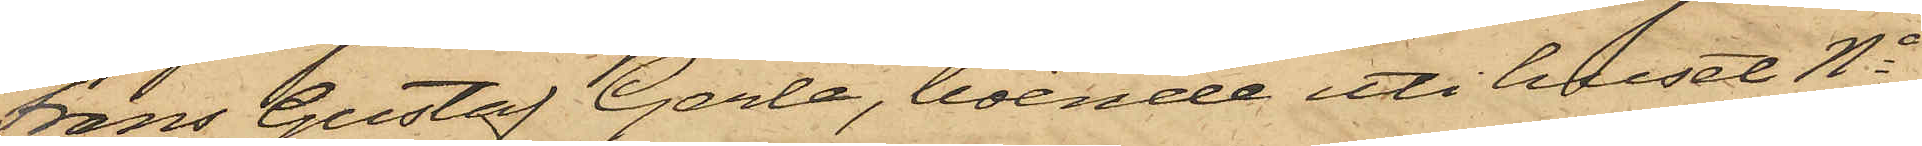Frans Gustaf Gerle, boende uti huset No
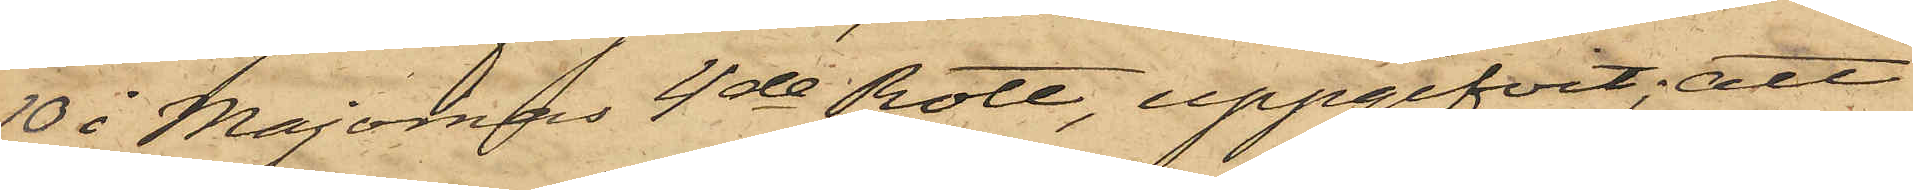10 i Majornas 4de Rote, uppgifvit; att
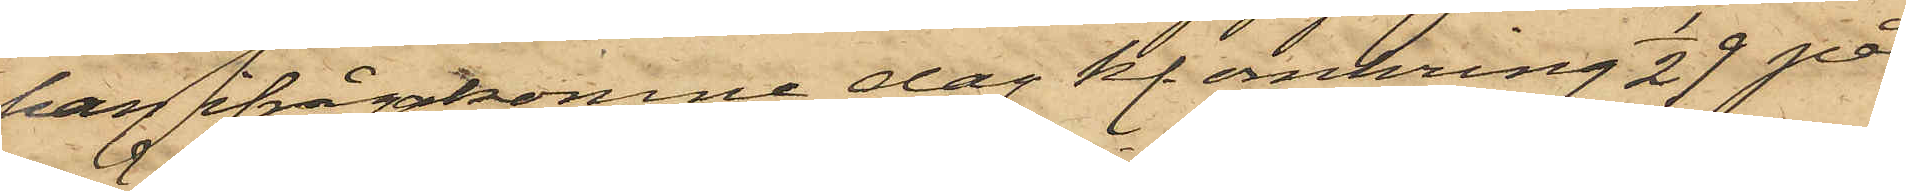han ifrågakomne dag kl. omkring 1/2 9 på
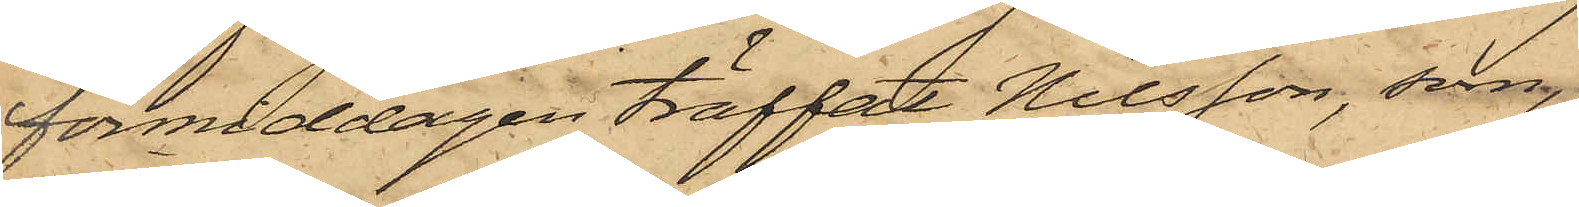förmiddagen träffat Nilsson, som,
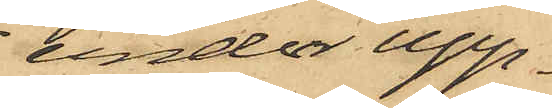under upp¬
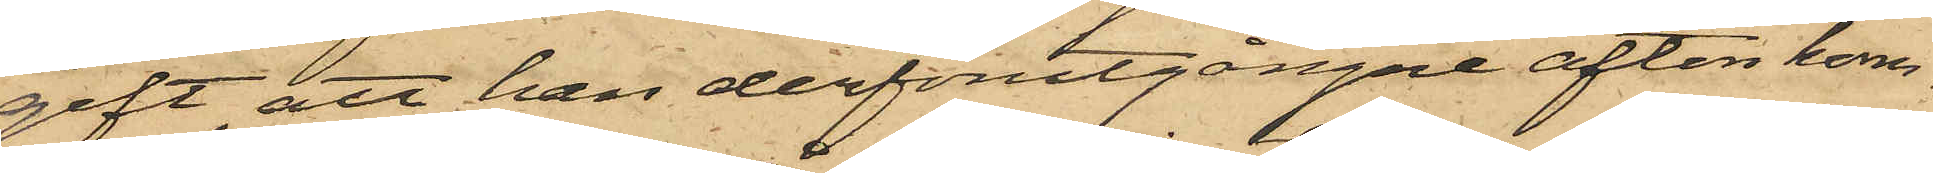gift, att han derförutgångne afton kom¬
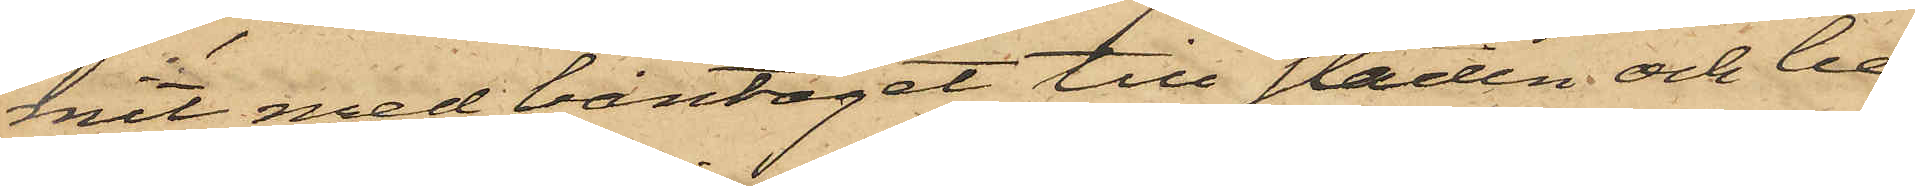mit med bantåget till staden och be¬
